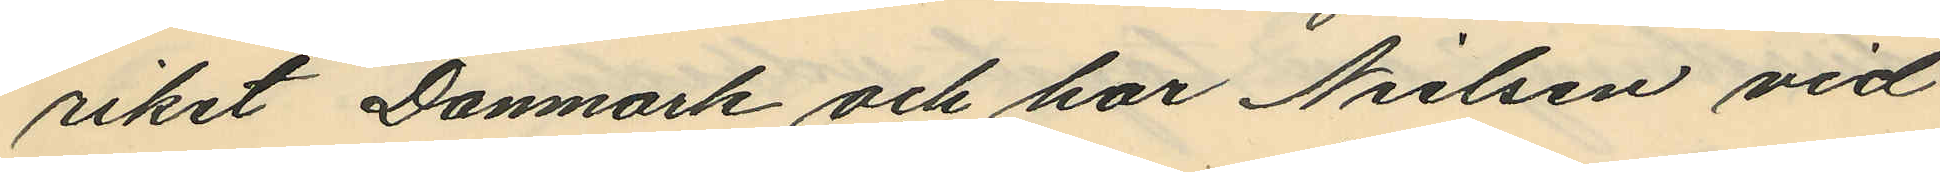riket Danmark och har Nielsen vid
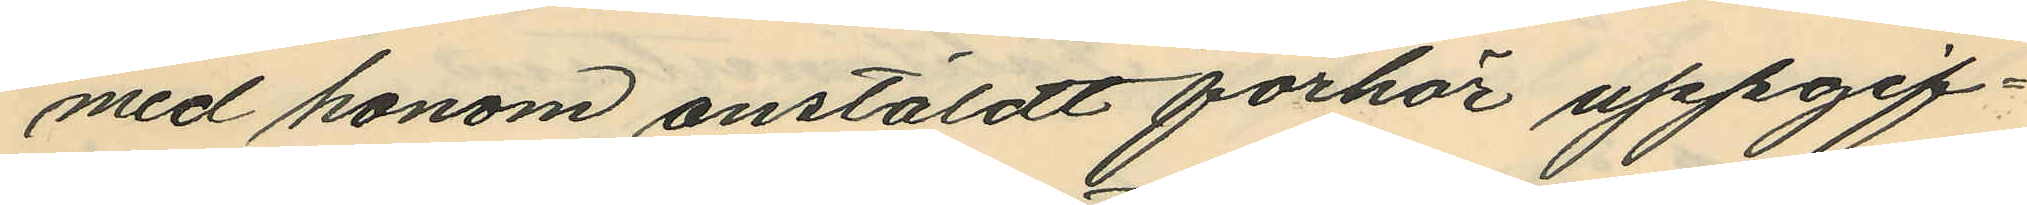med honom anstäldt förhör uppgif¬
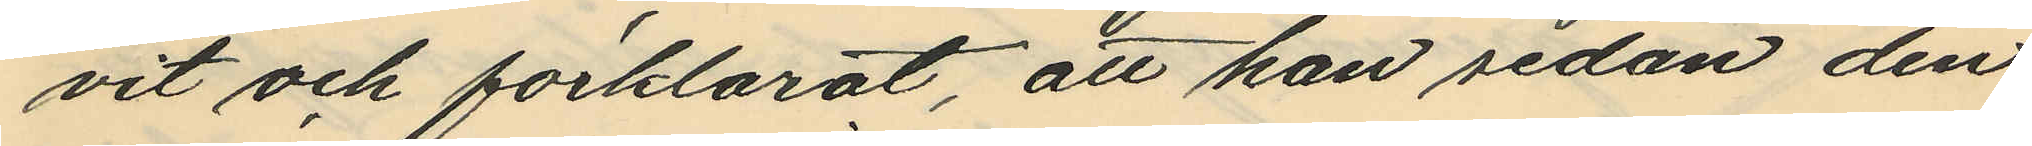vit och förklarat, att han sedan den
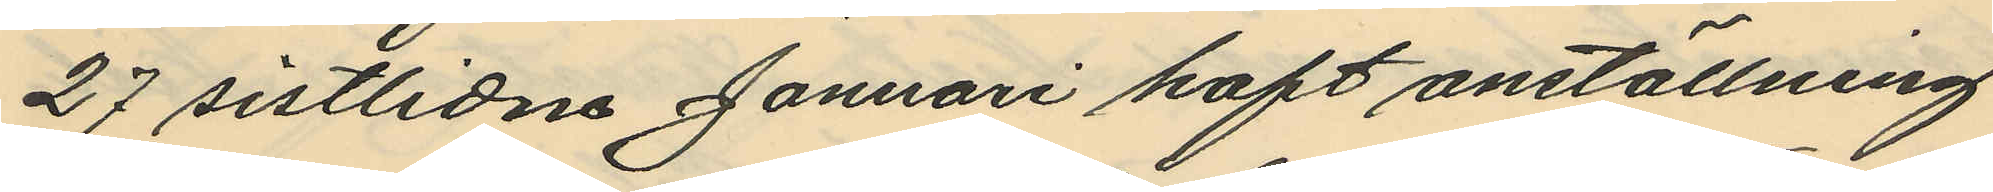27 sistlidne Januari haft anställning
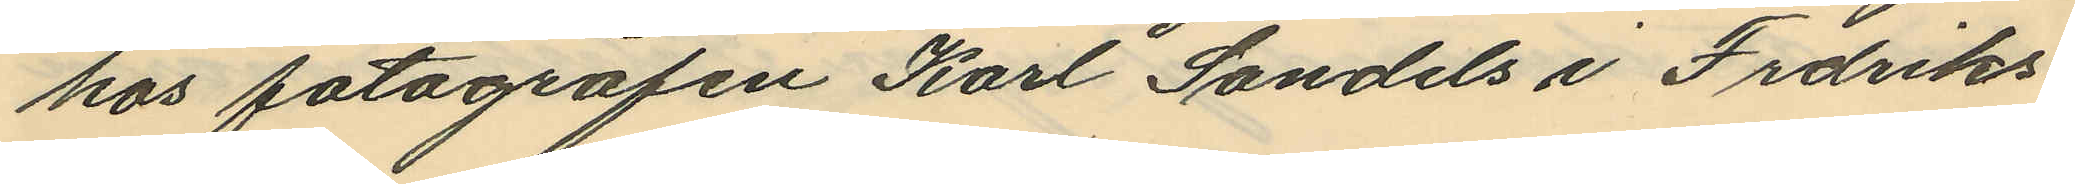hos fotografen Karl Sandels i Frdriks¬
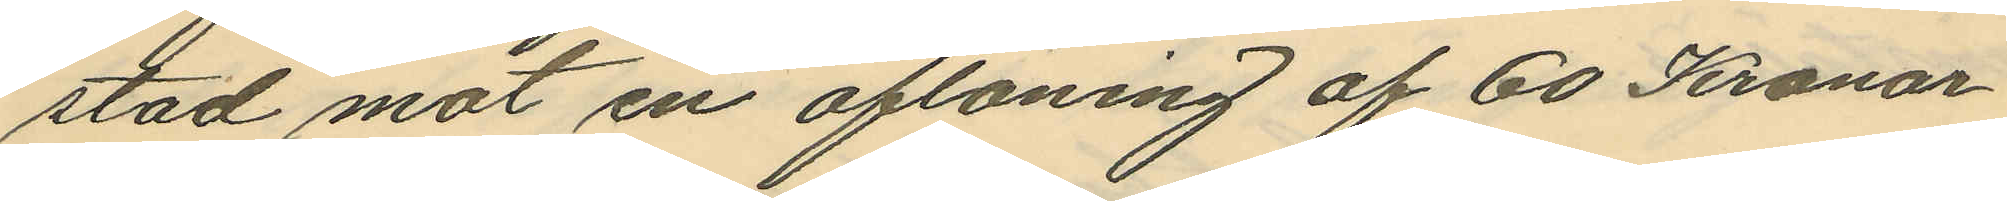stad mot en aflöning af 60 Kronor
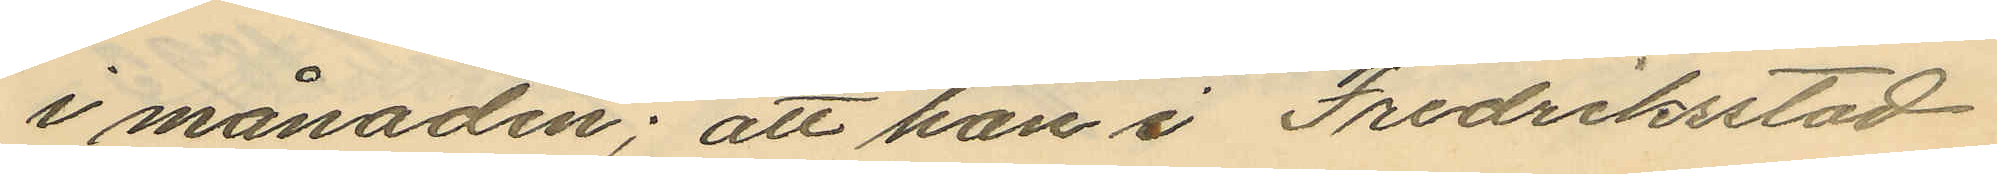i månaden; att han i Fredriksstad
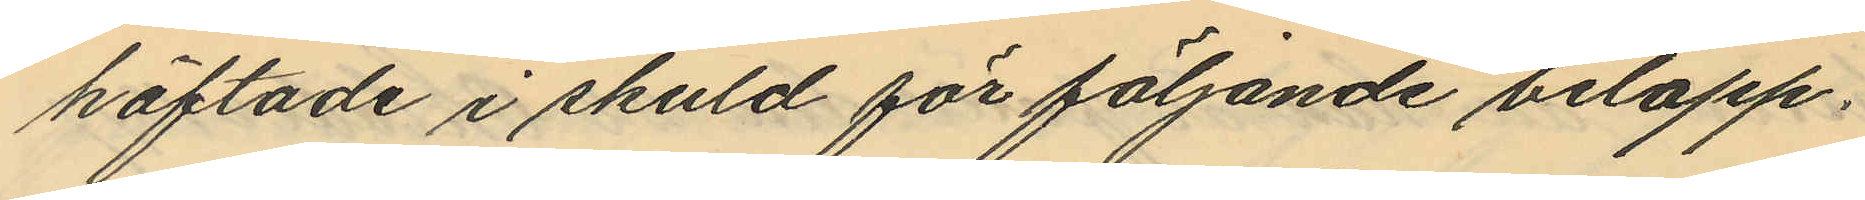häftade i skuld för följande belopp,
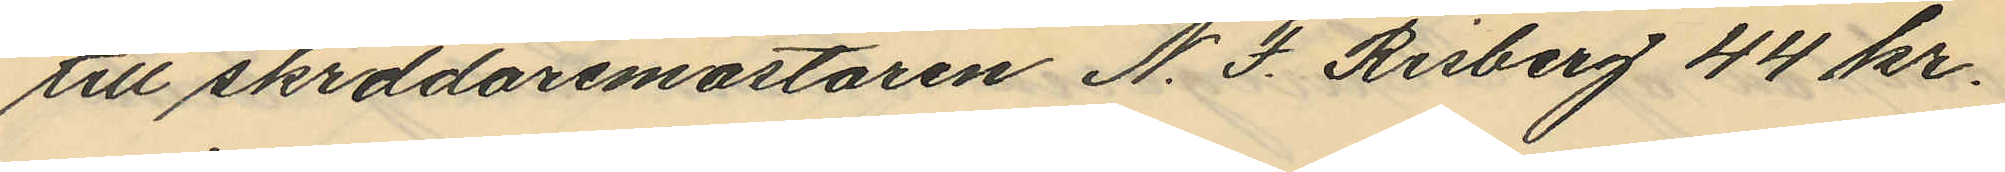till skrddäremästaren N. F. Risberg 44 kr.
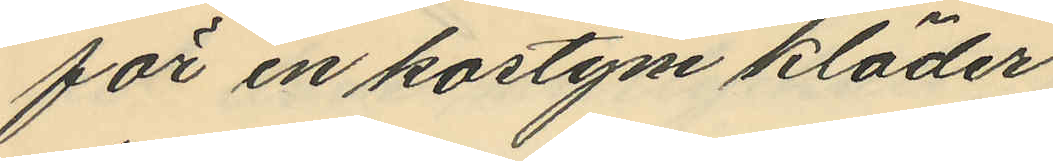för en kostym kläder.
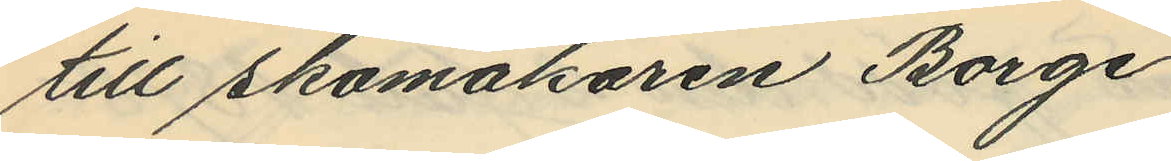till Skomakaren Borge
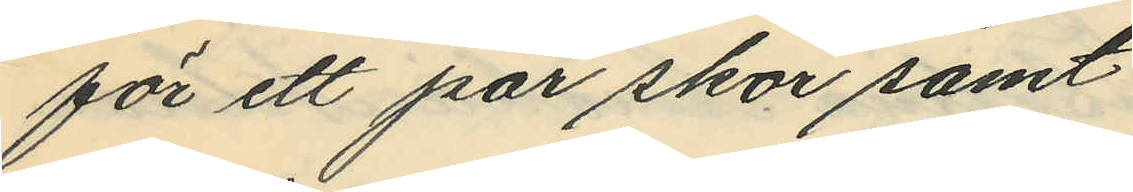för ett par skor samt
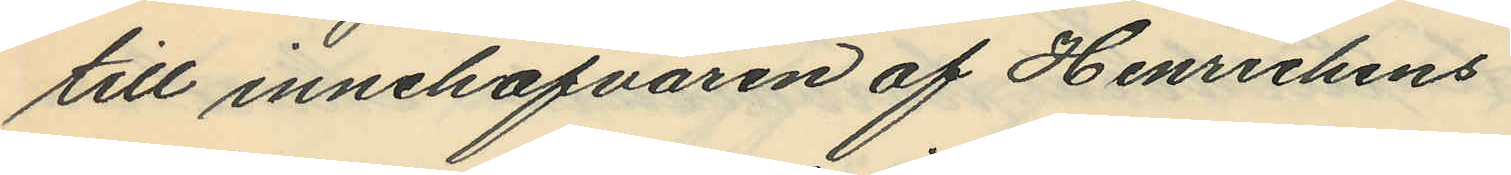till innehafvaren af Henriekens
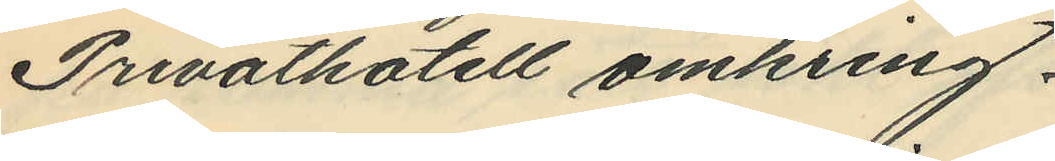Privathotell omkring.
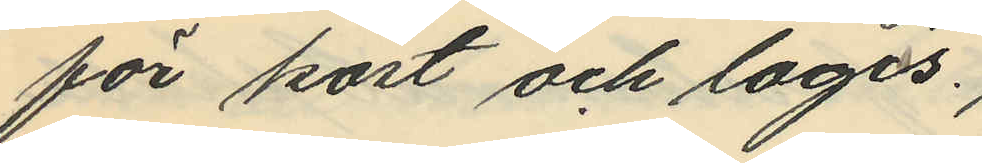för kost och logis.
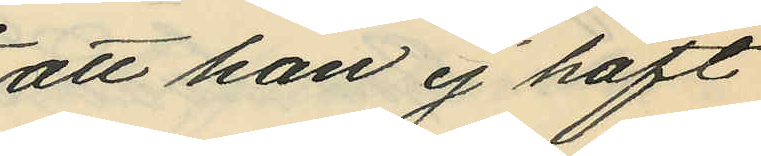att han ej haft
